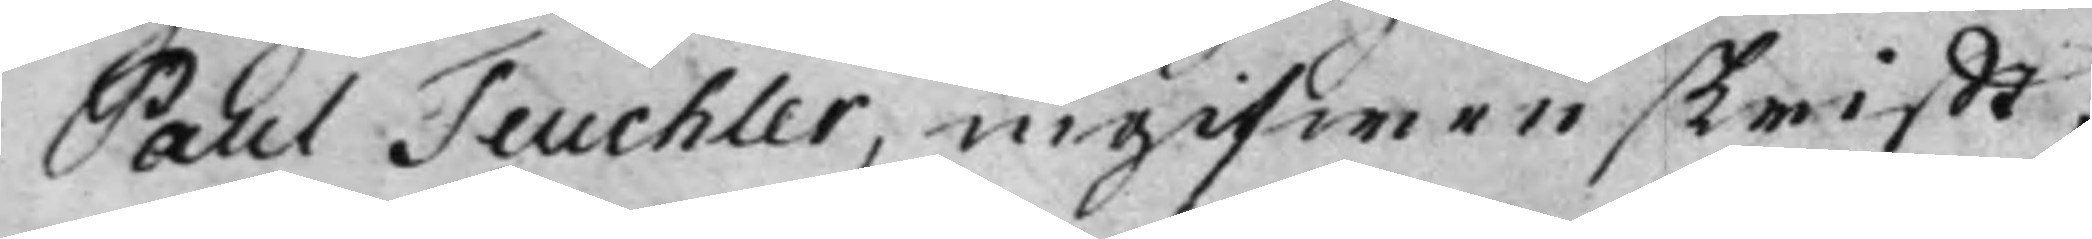Paul Teuchler, ingifwen skrifft,
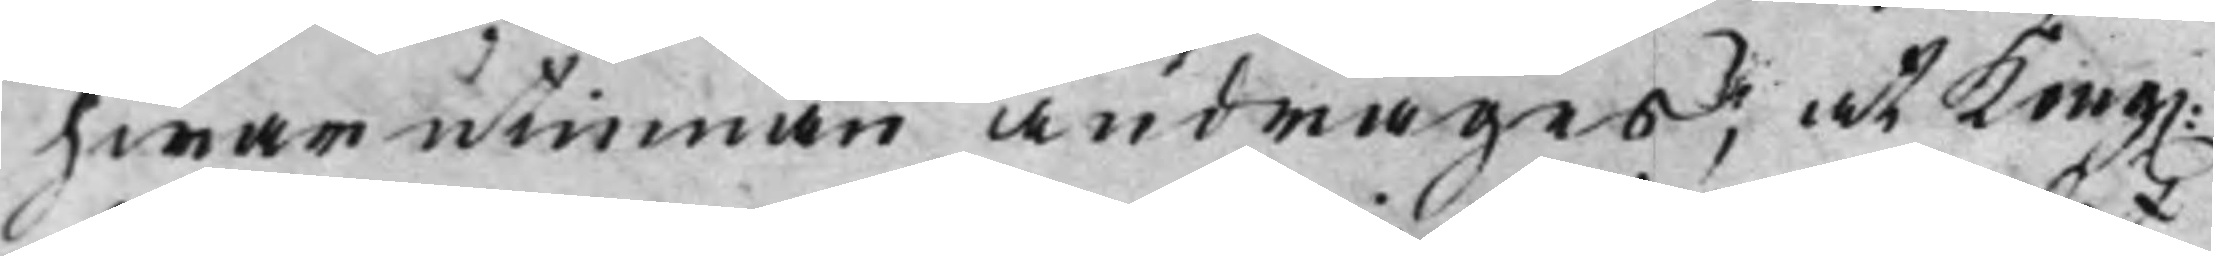hwarutinnan andrages, at Kong.
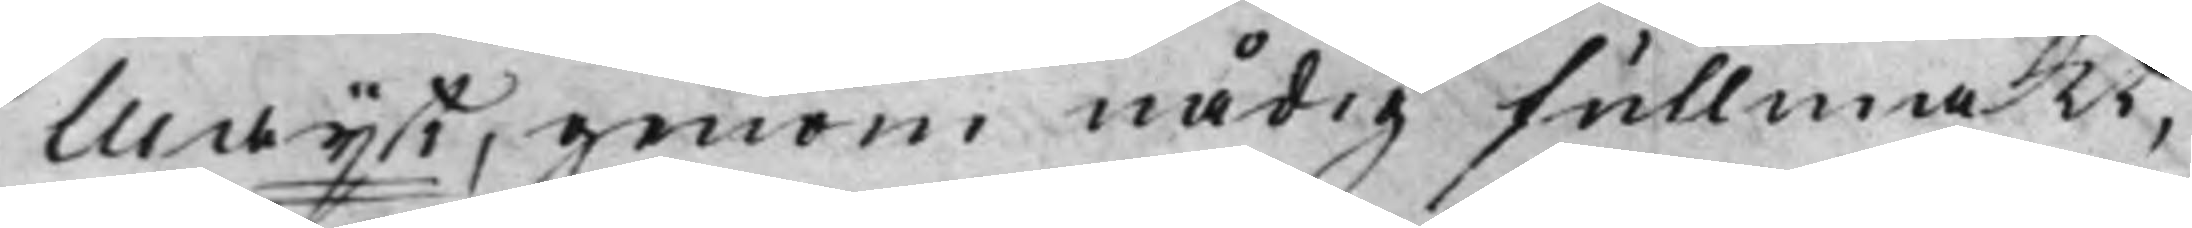Maijt, genom nådig fullmakt,
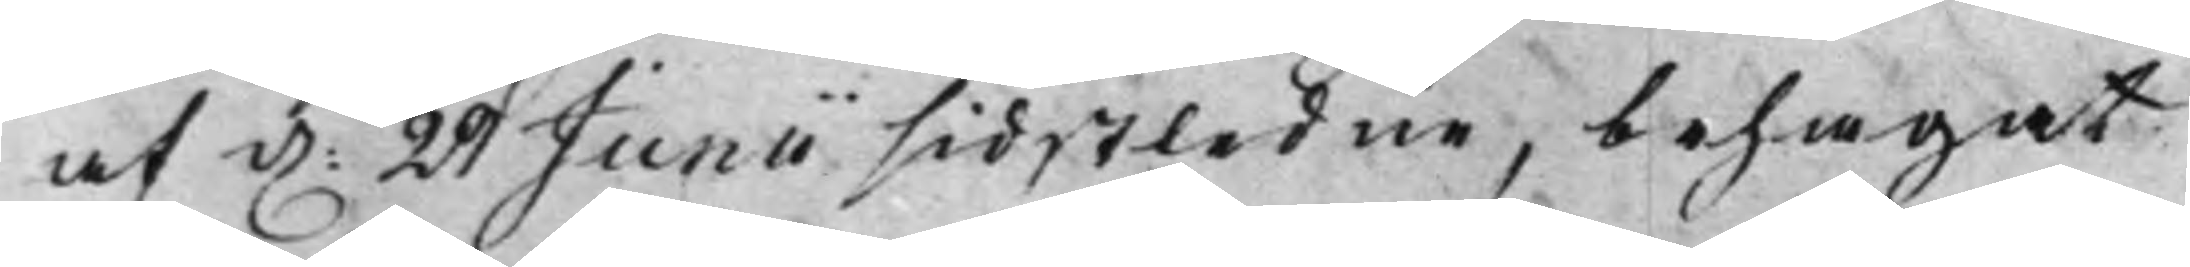af d. 29 Junii sidstledne, behagat
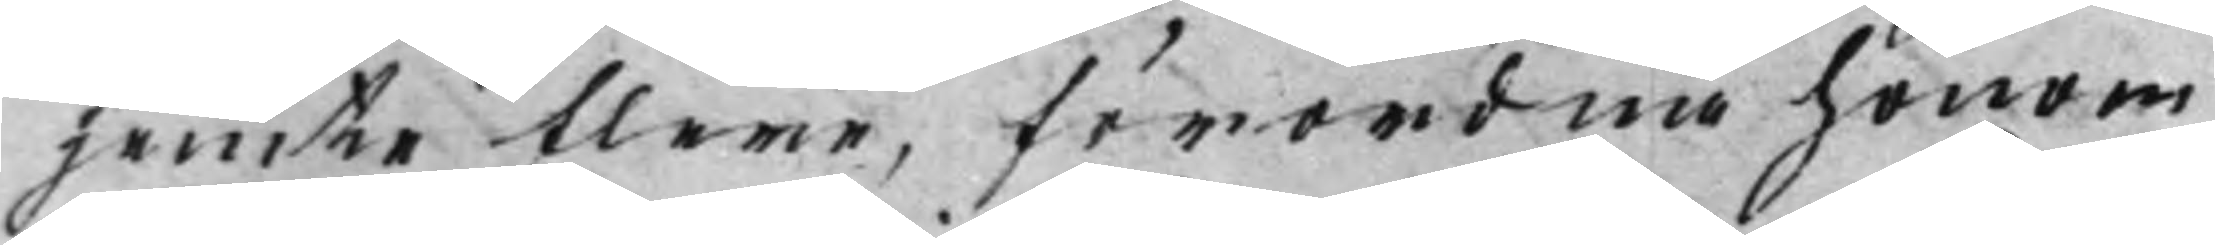jemte flere, förordna honom
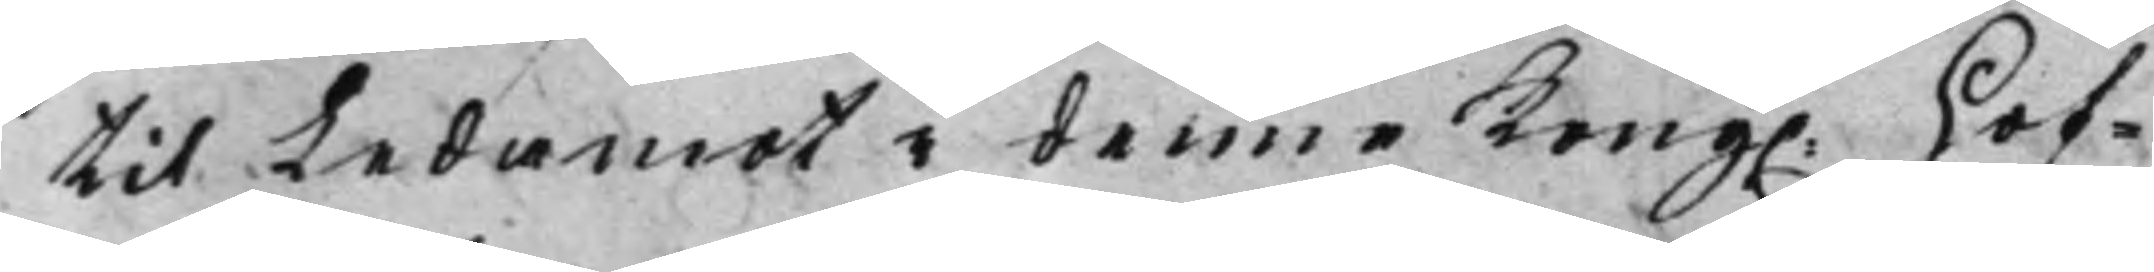til Ledamot i denne Kong. Hof¬
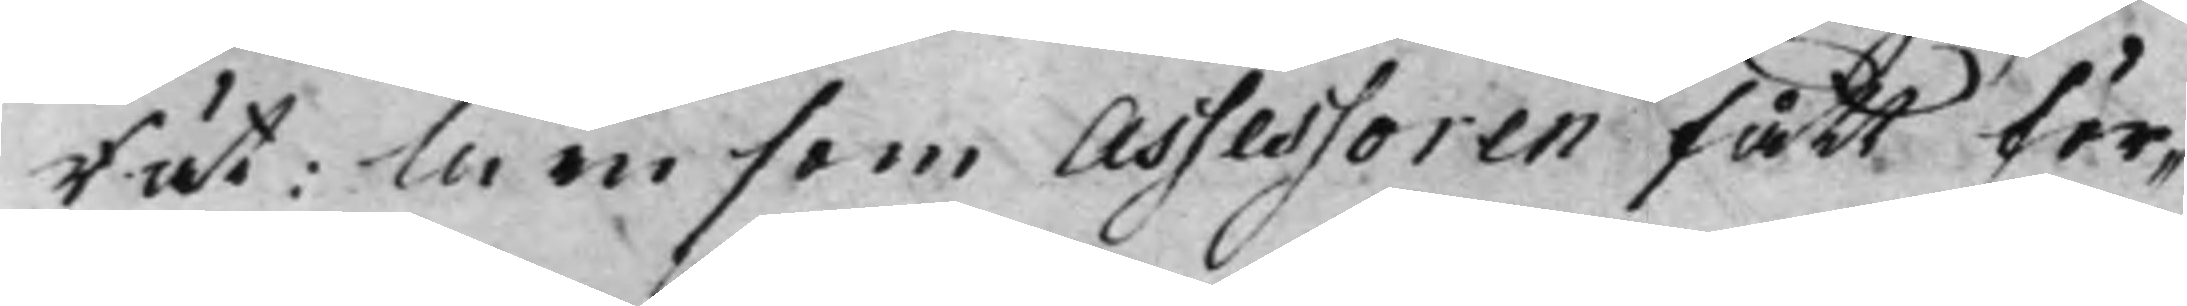Rätt: Men som Assessoren fått för¬
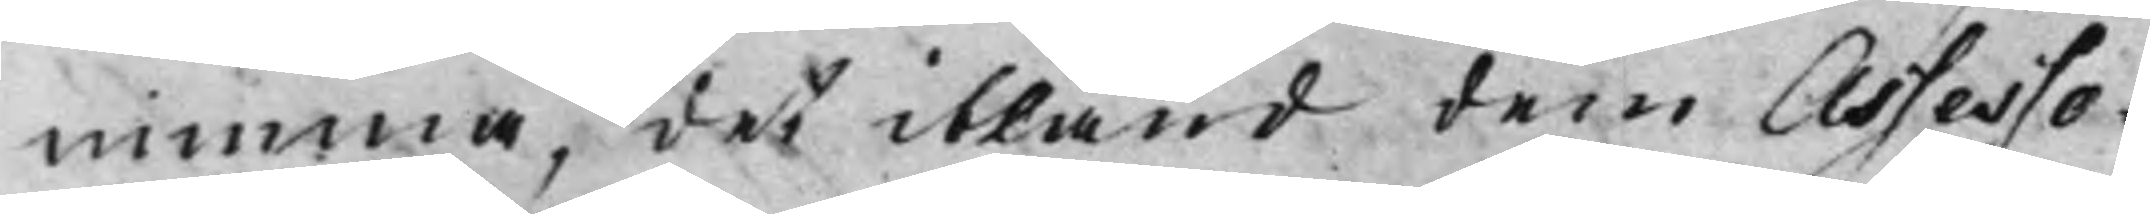nimma, det ibland dem Assesso¬
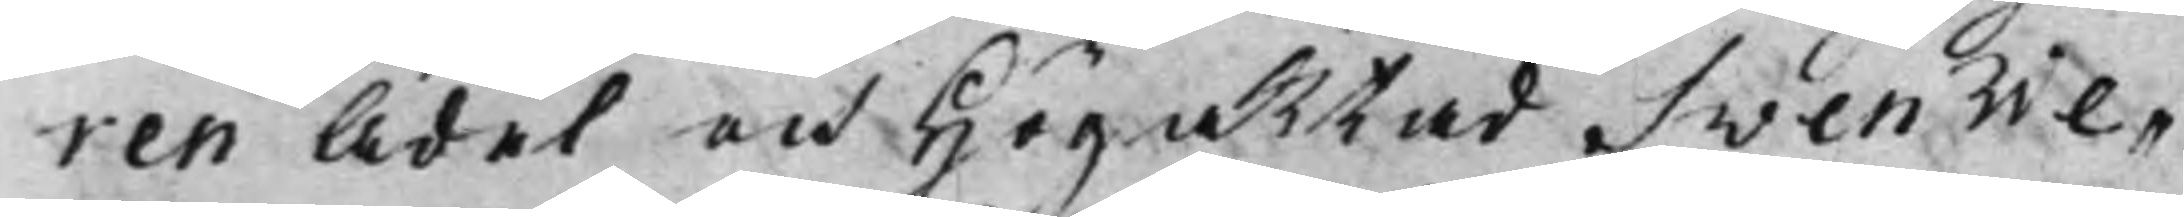ren Ädel och Högaktad Sven We¬
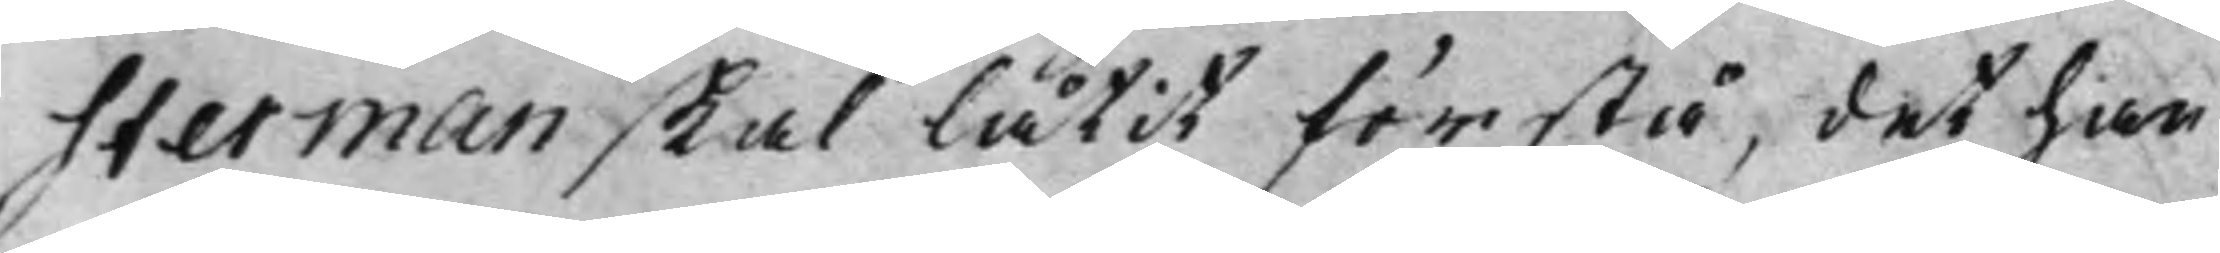sterman, skal låtit förstå, det han
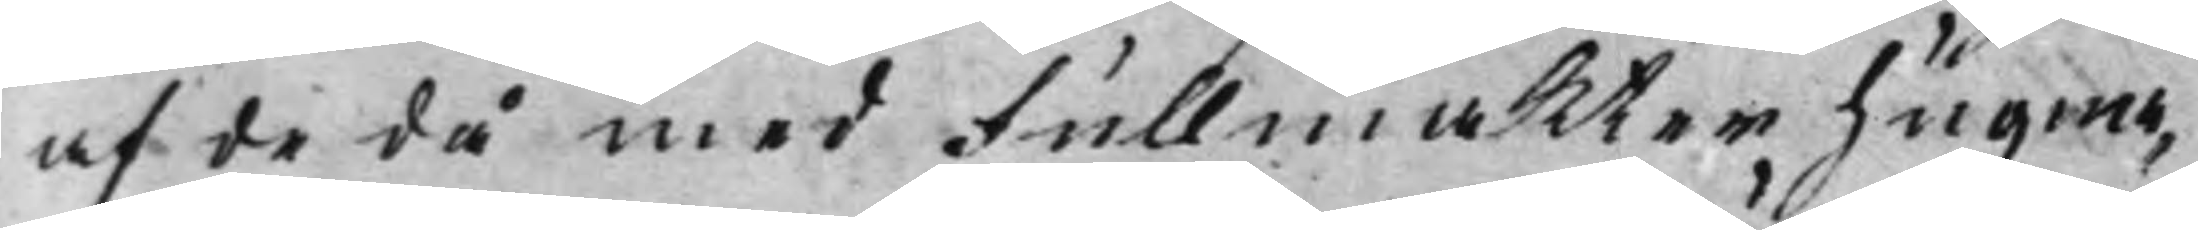af de då med Fullmakter hugna¬
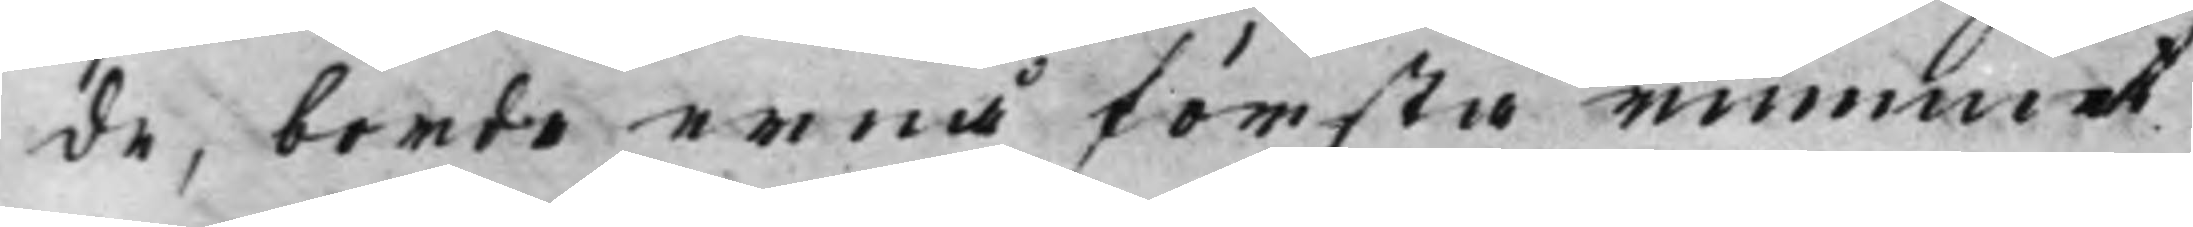de, borde ernå första rummet
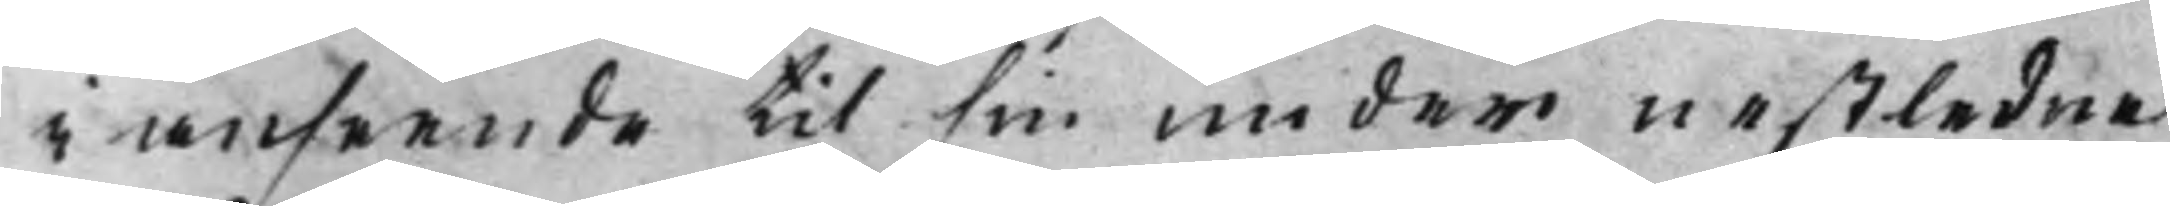i anseende til sin under nestledne
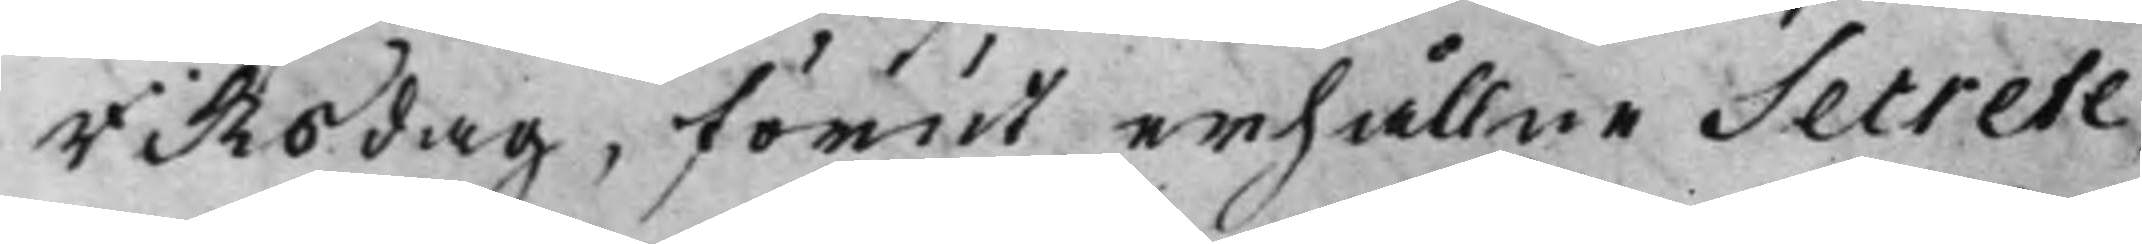Riksdag, förut erhållne Secrete¬
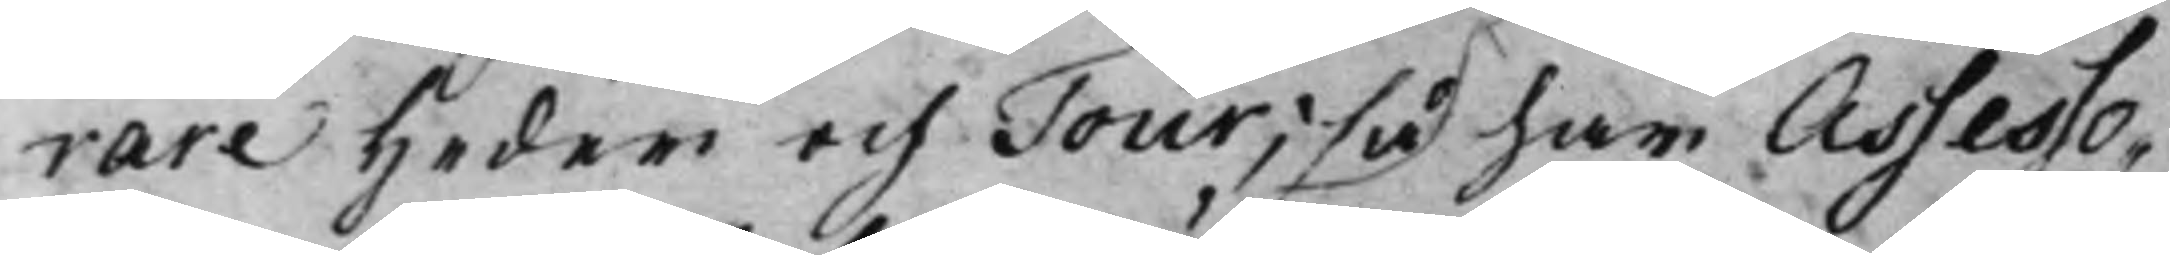rare heder och Tour; så har Assesso¬
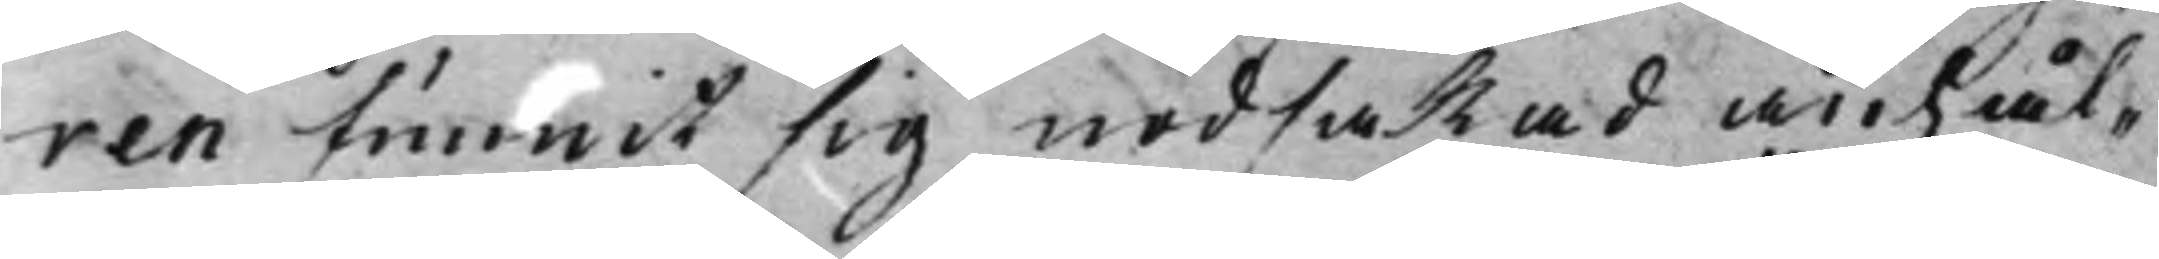ren funnit sig nödsakad anhål¬
